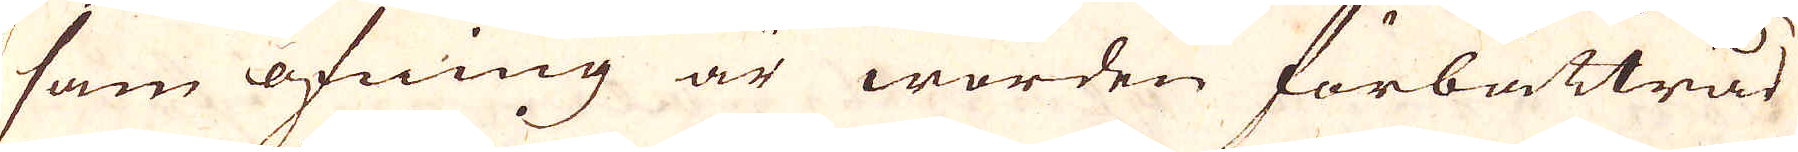sam öfning är worden förbättrad
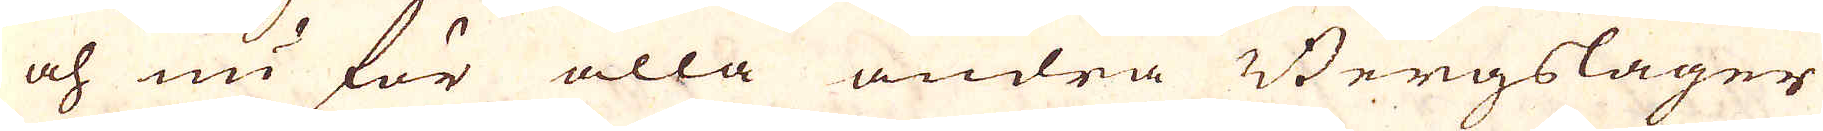och nu för alla andra Bergslager
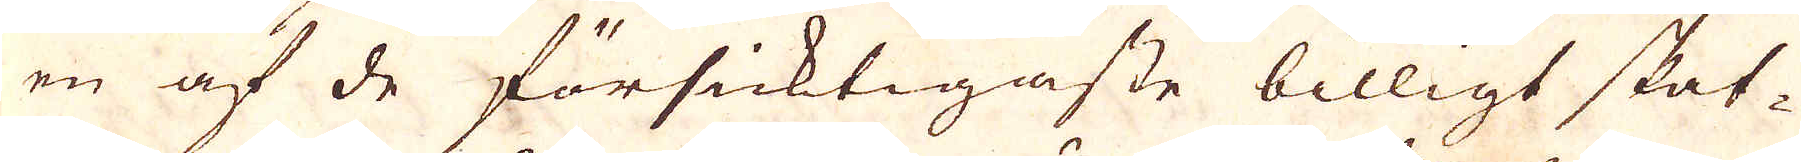en af de försicktigaste billigt skat-
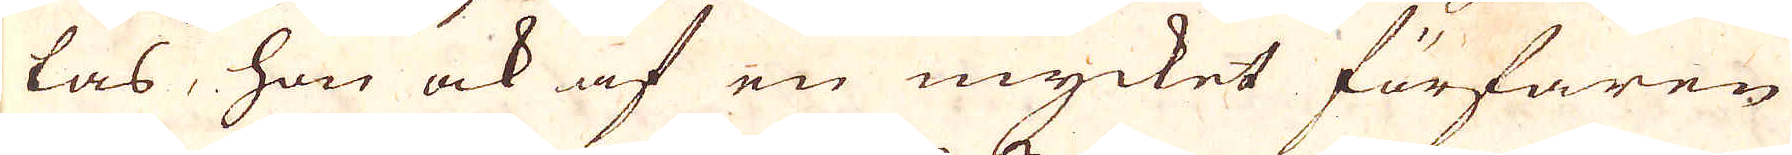tas, hon ock af en mycket förfaren
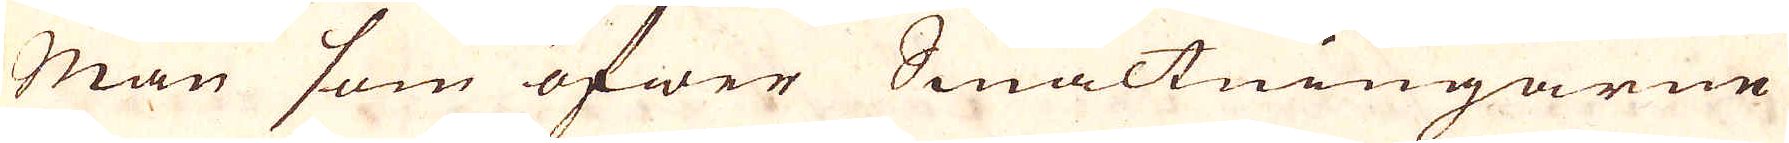Man som öfwer Smältningarne
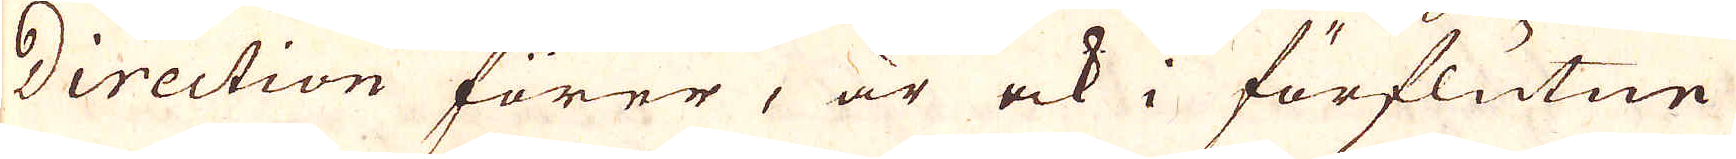Direction förer, är ock i förflutne
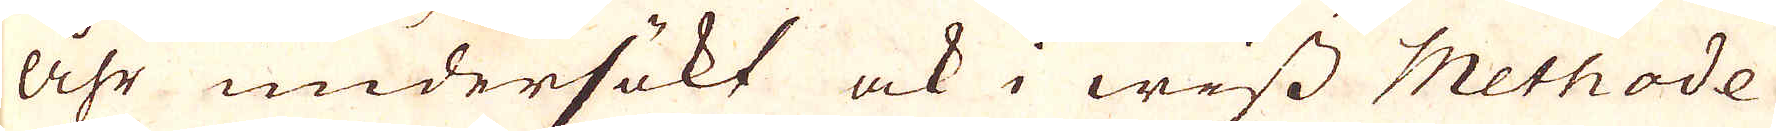åhr undersökt ock i wiss Methode
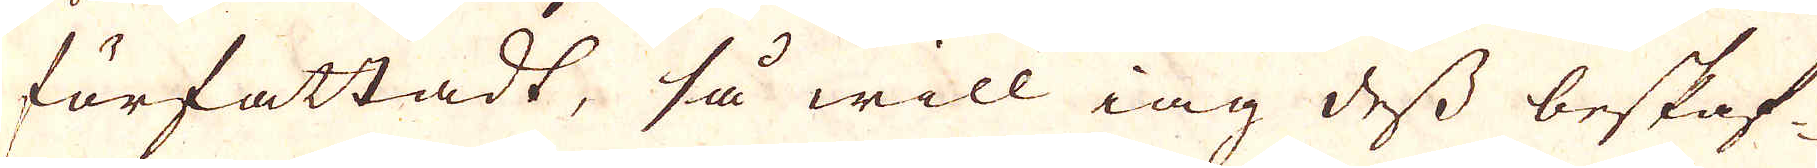författadt, så will iag dess beskaf-
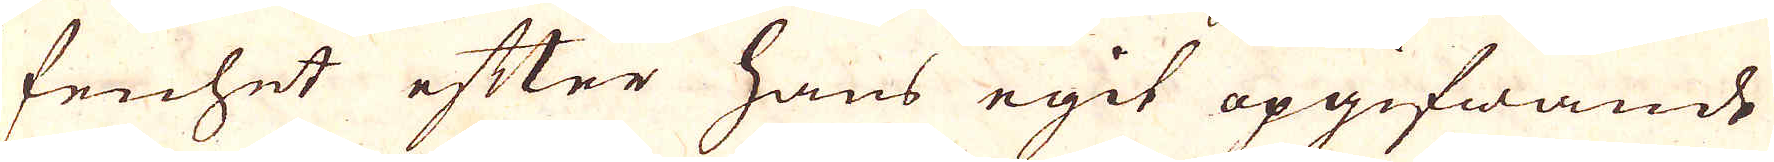fenhet efter hans egit opgifwande
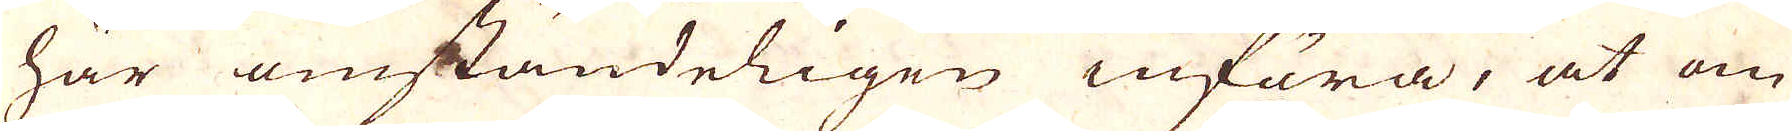här omständeligen införa, at om
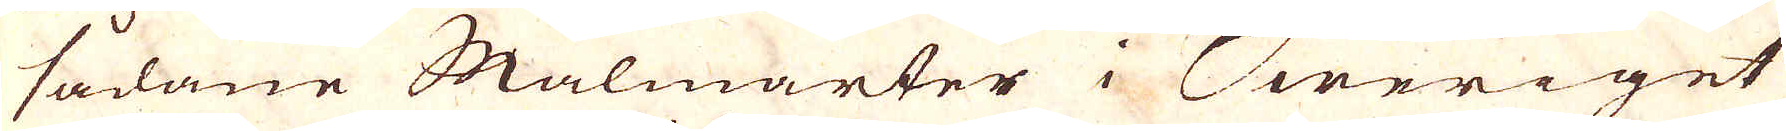sådane Malmarter i Sweriget
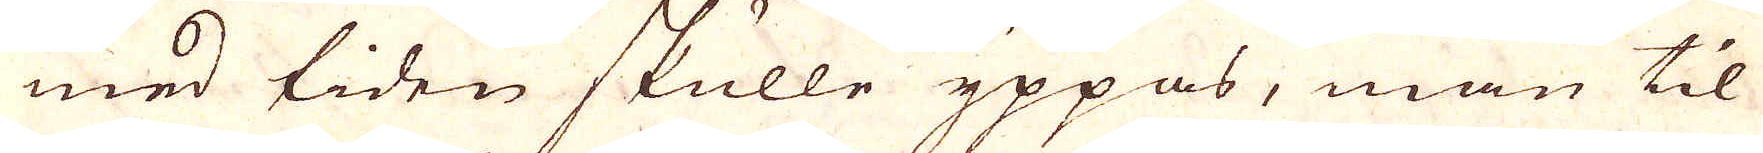med tiden skulle yppas, man til
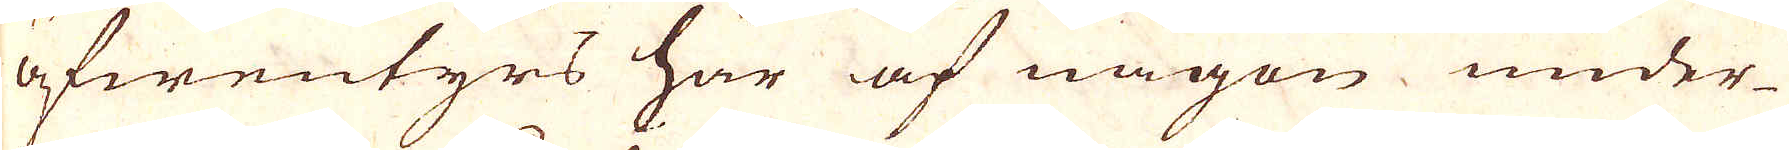äfwentyrs här af någon under-
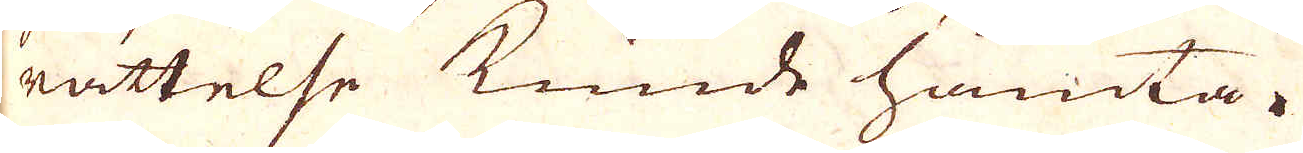rättelse kunde hämta.
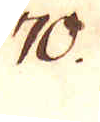70.
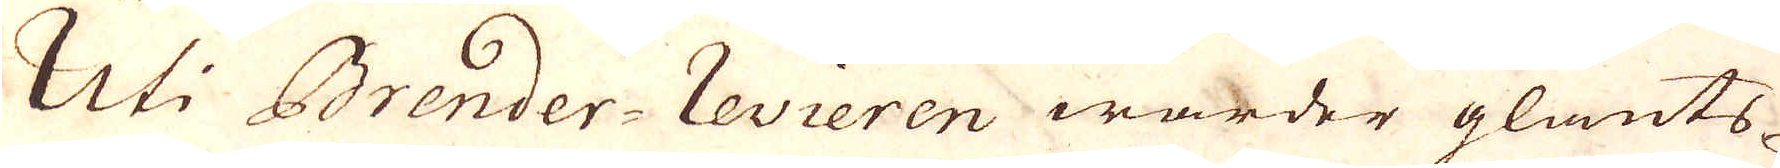Uti Brender-revieren warder glants-
